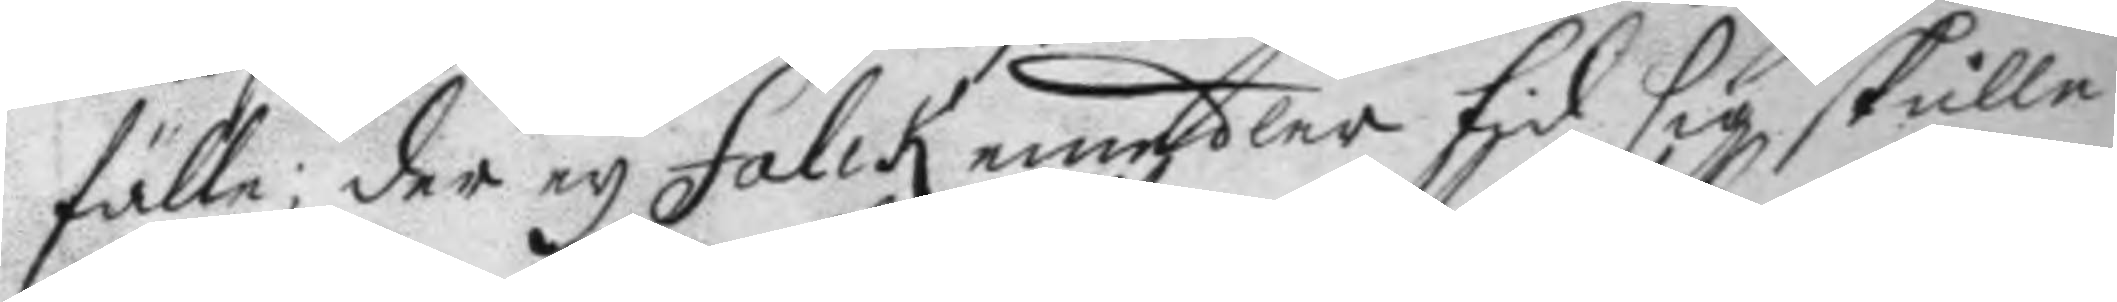fälle; der ey Falck emedler tid sig skulle
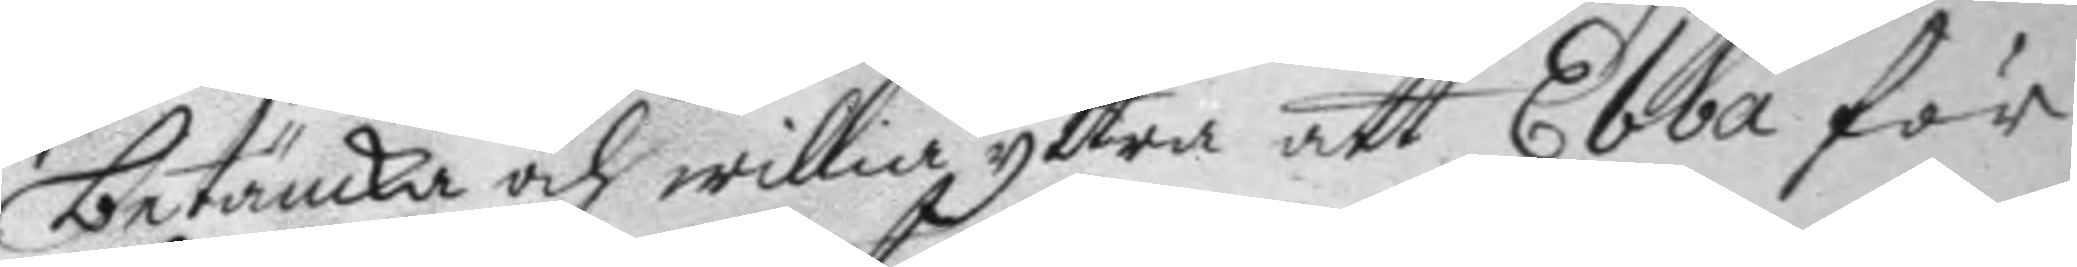betänka och willia yttra att Ebba för
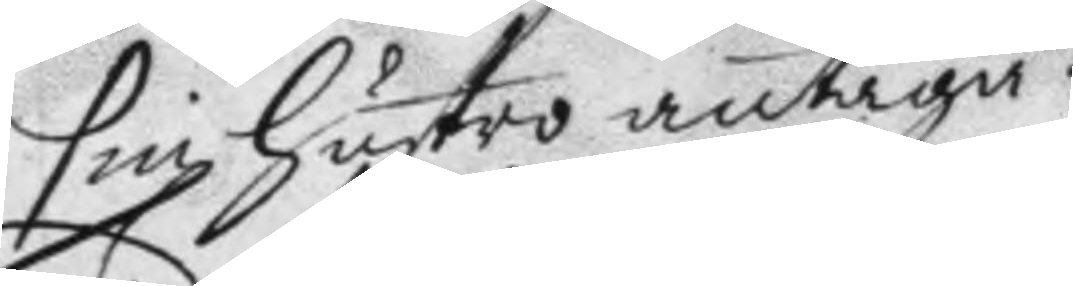sin hustro antaga.
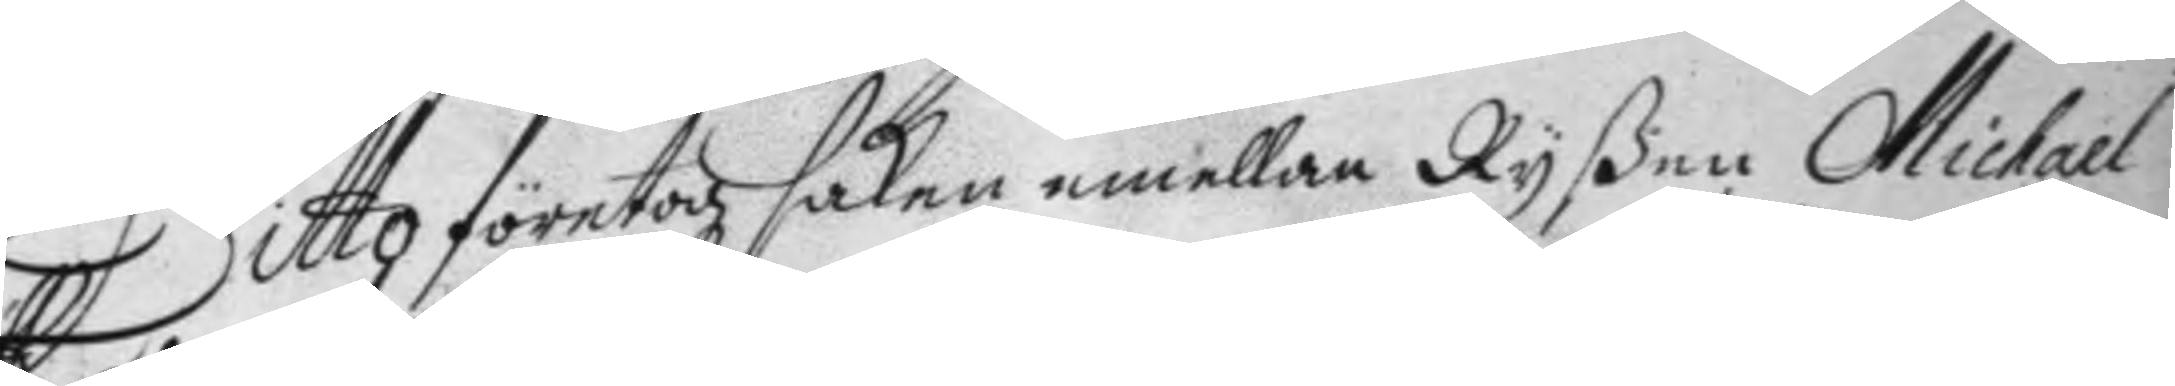Ditto företogz saken emellan Ryßen Michael
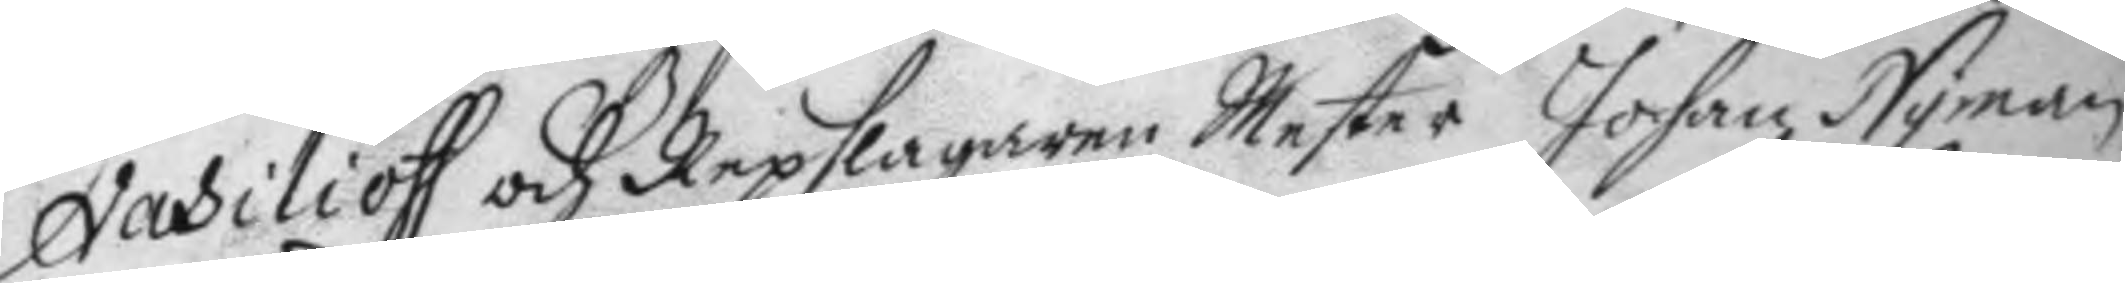Vasilioff och Repslagaren Mester Johan Nyman
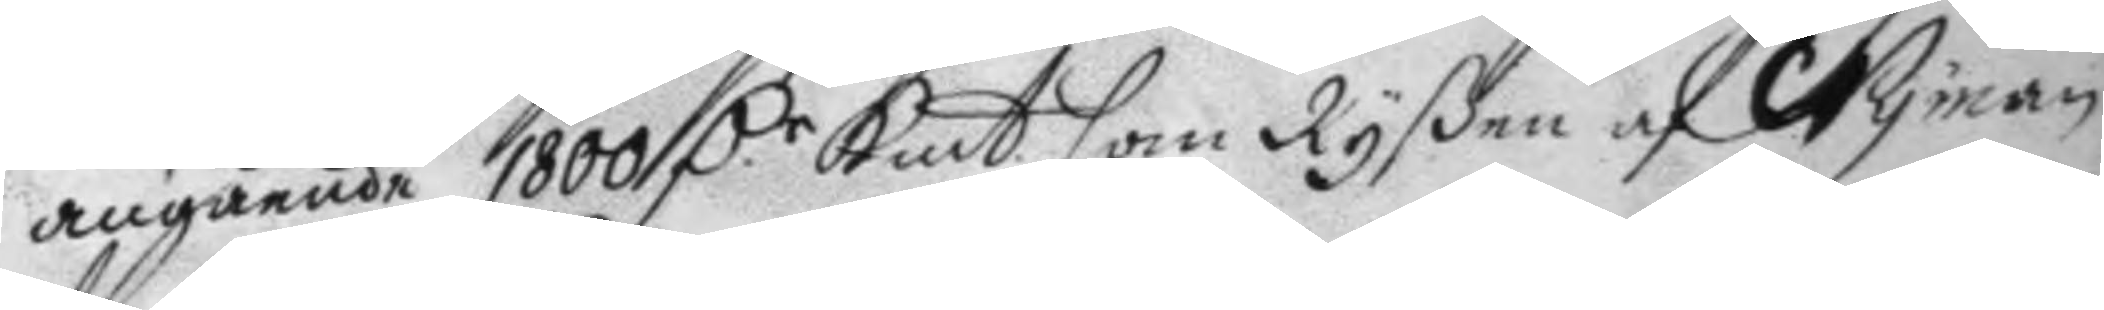angående 1800 D.r Kmt. som Ryßen af Nyman 
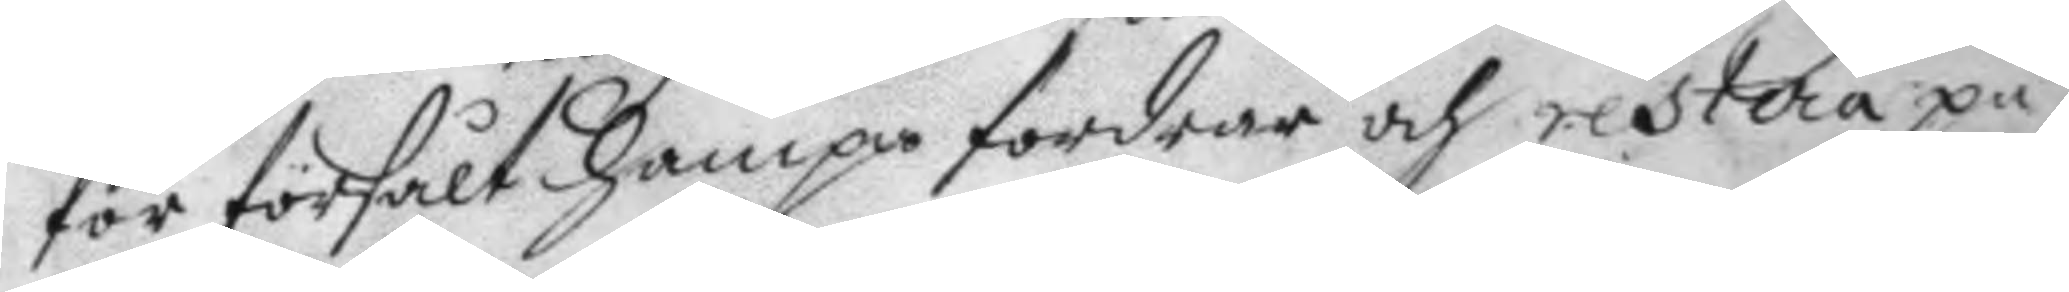för försålt hampa fordrar och restera på
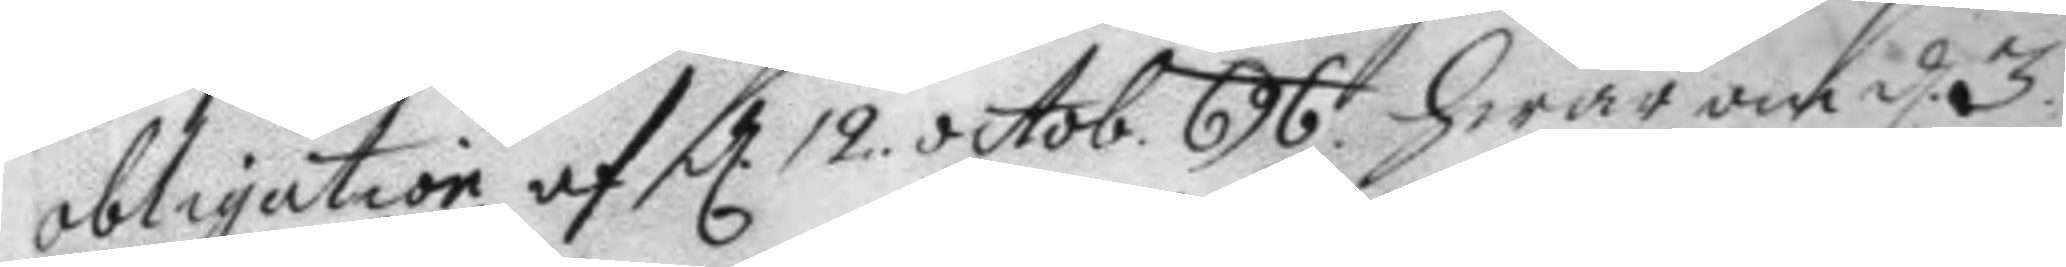obligation af d 12 octob. 696 hwar om d 3. 
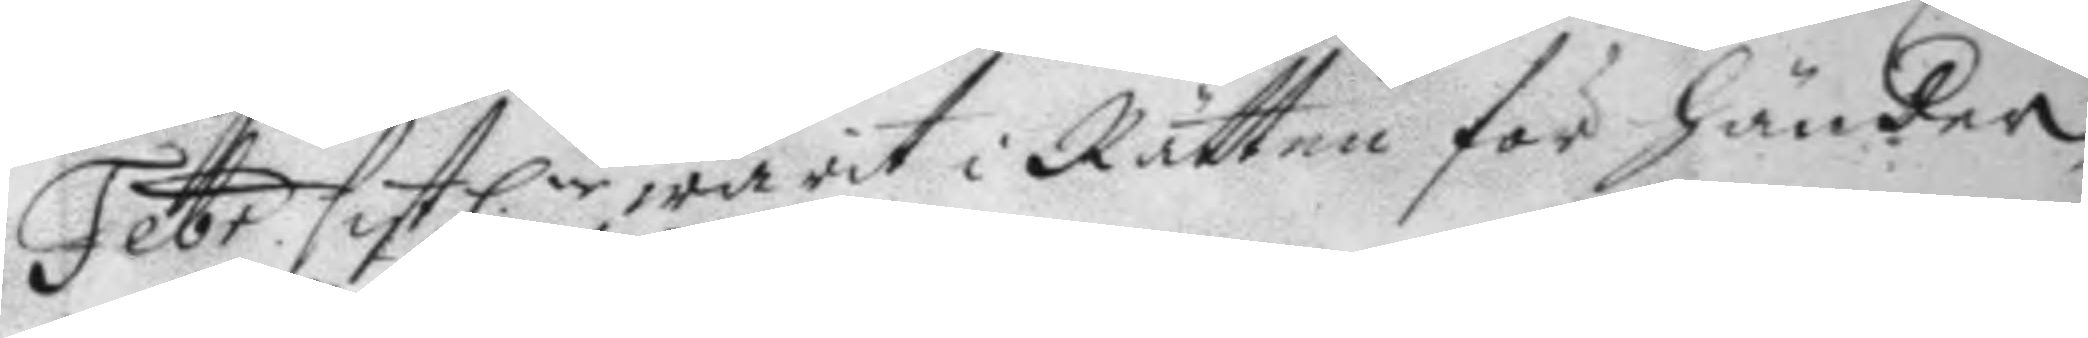Febr sistlne warit i Rätten för händer 
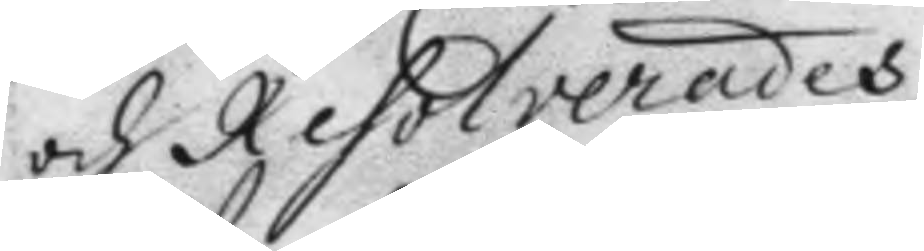och Resolverades
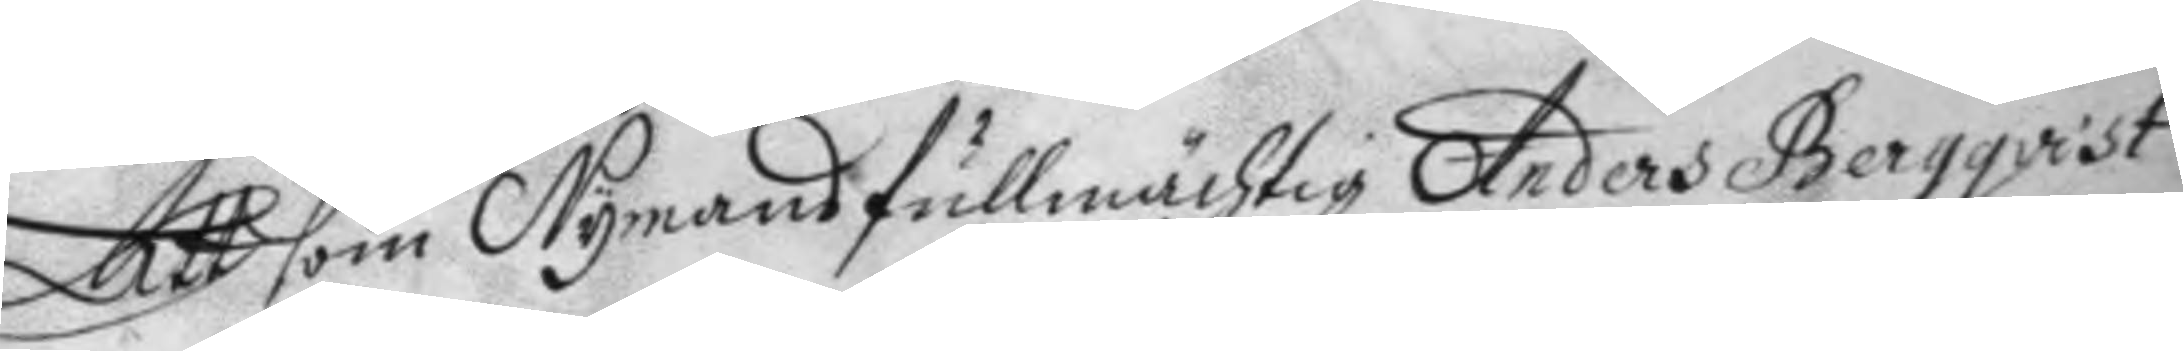Att som Nymans fullmächtig Anders Bergqvist
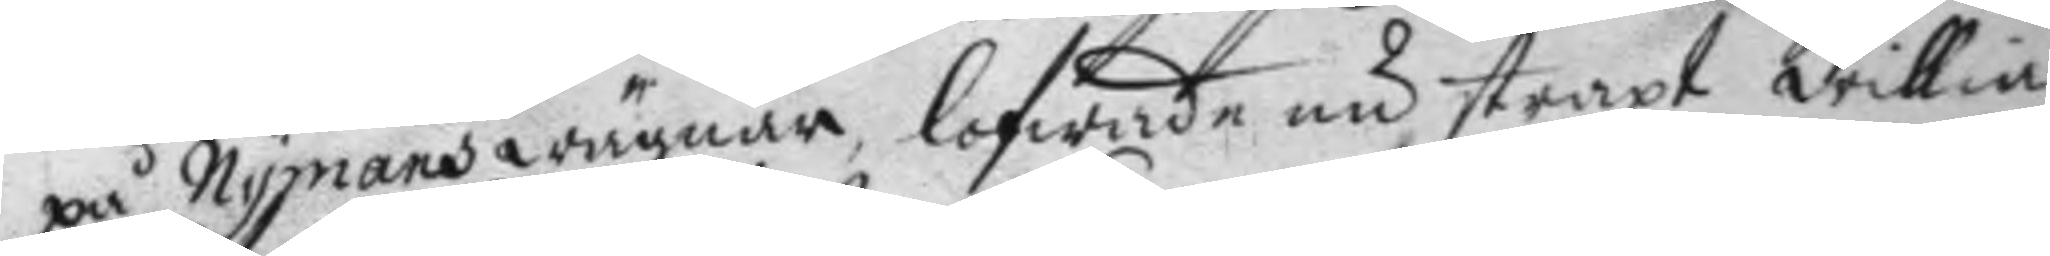på Nymans wägnar, lofwade nu straxt willia
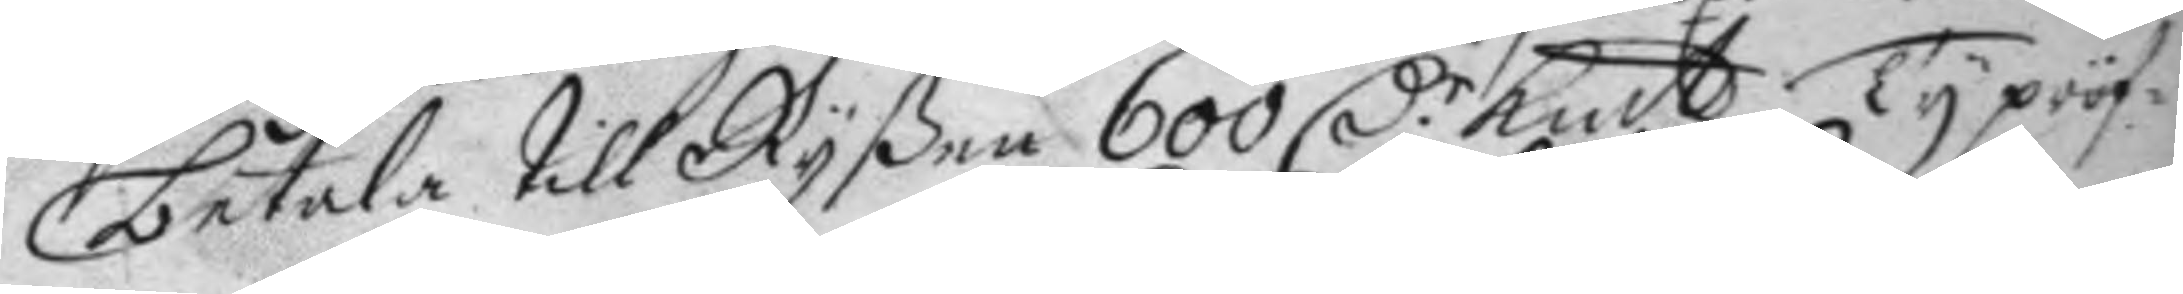betala till Ryßen 600 D.r Kmt, Ty pröf¬ 
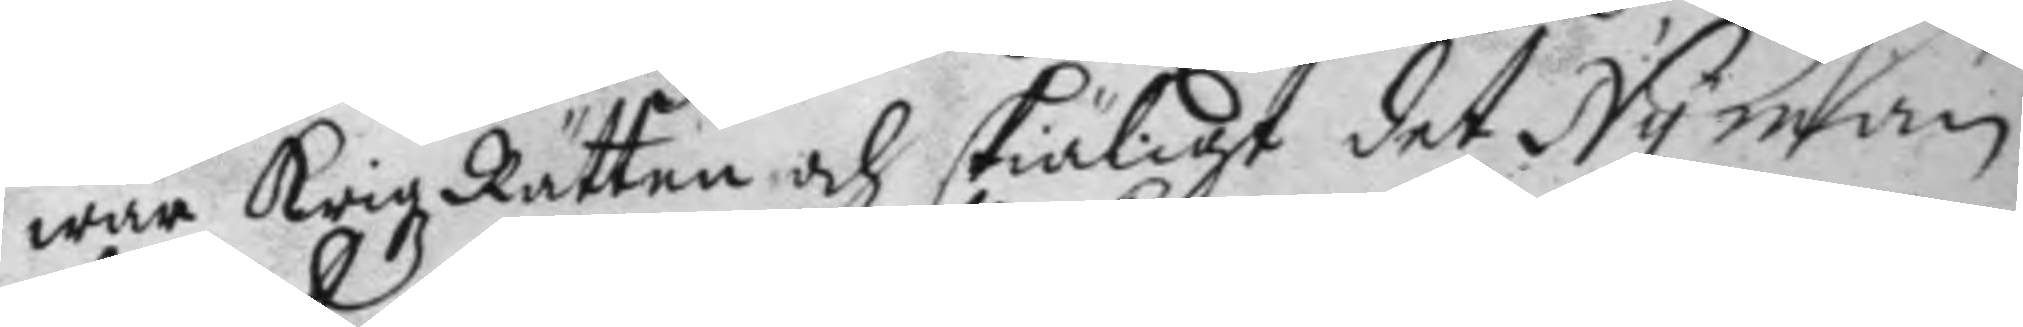war Krigz Rätten och skiäligt det Nyman
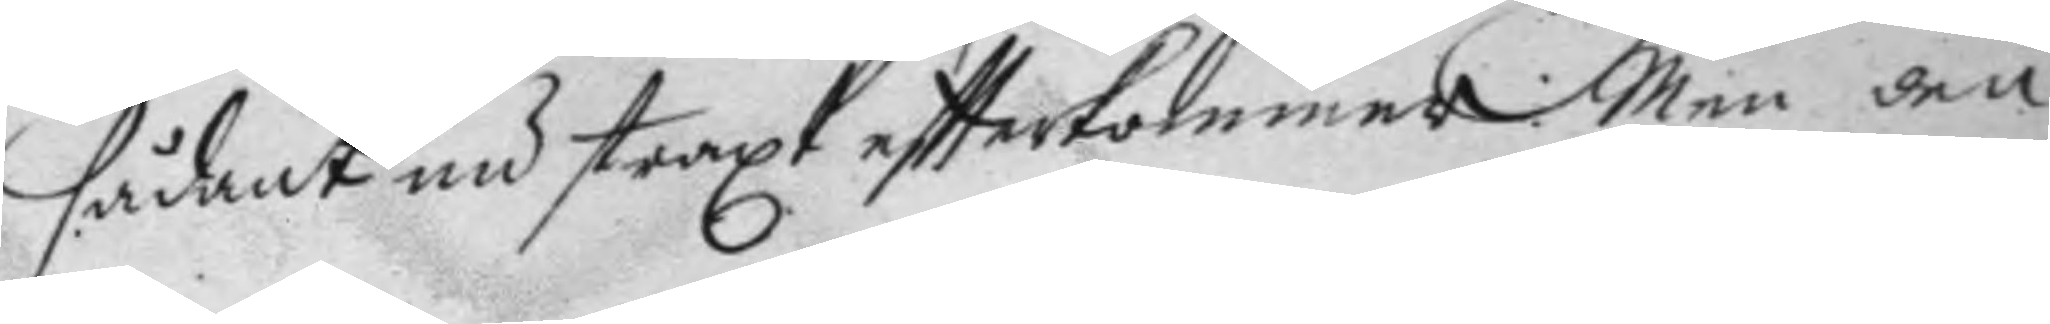sådant nu straxt eftterkommer: Men den
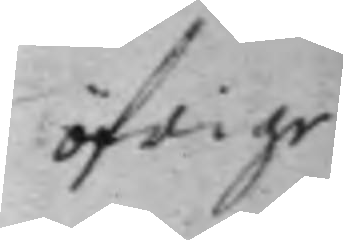öfrige
